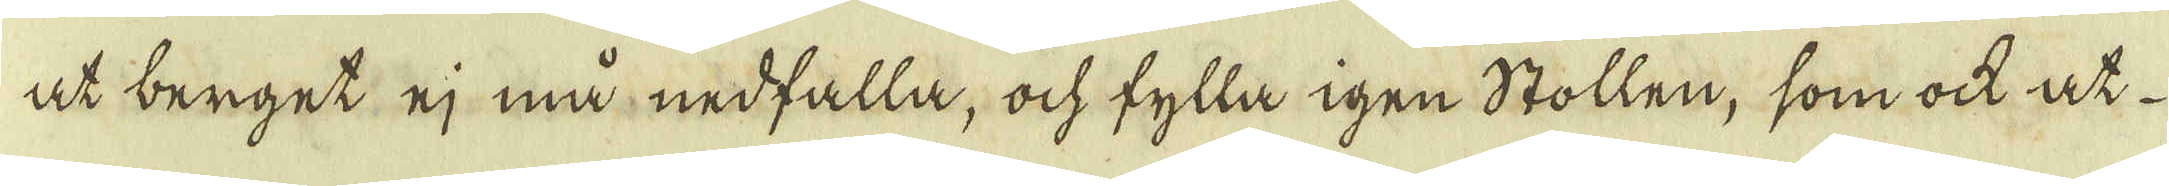at berget ej må nedfalla, ock fylla igen Stollen, som ock at
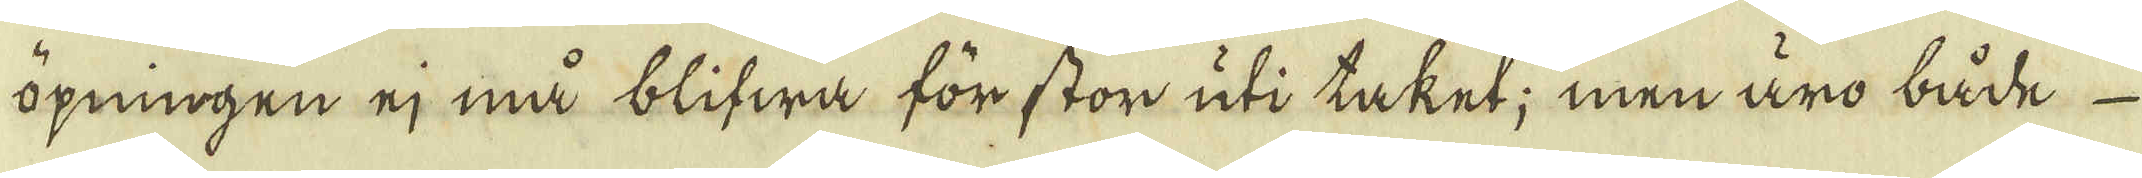öpningen ej må blifwa för stor uti taket; men äro både
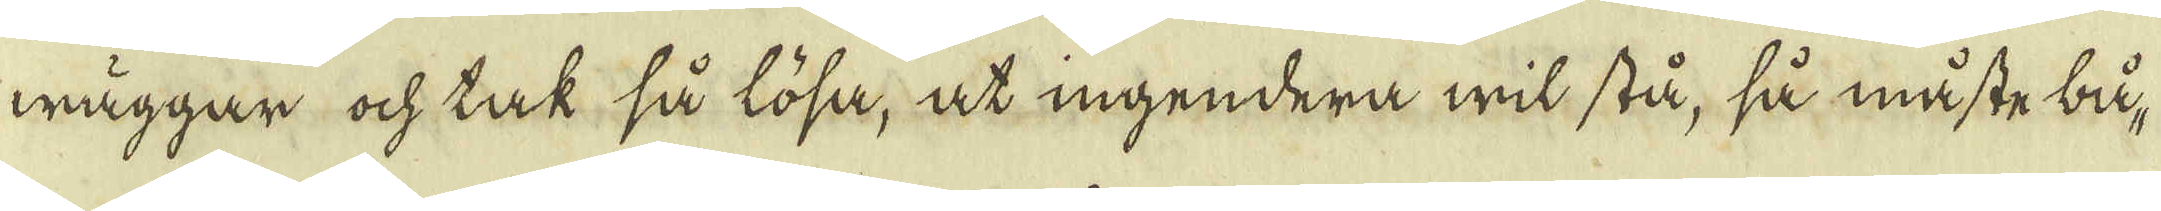wäggar ock tak så lösa, at ingendera wil stå, så måste bå-
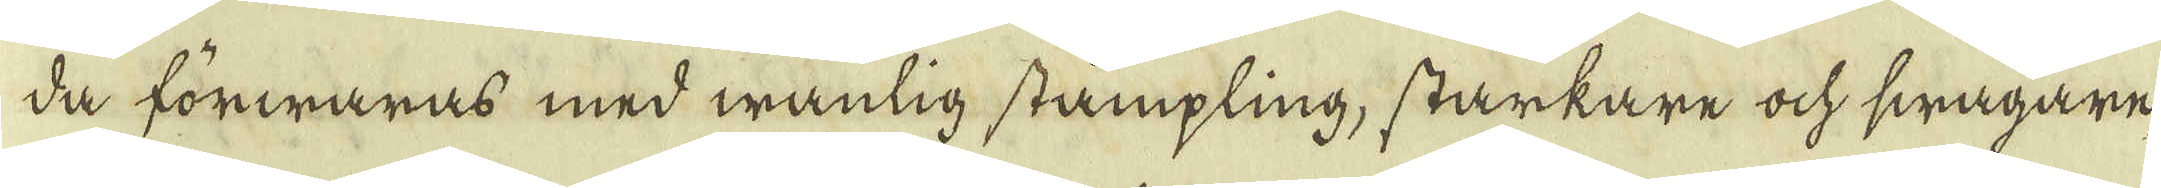da förwaras med wanlig stämpling, starkare ock swägare,
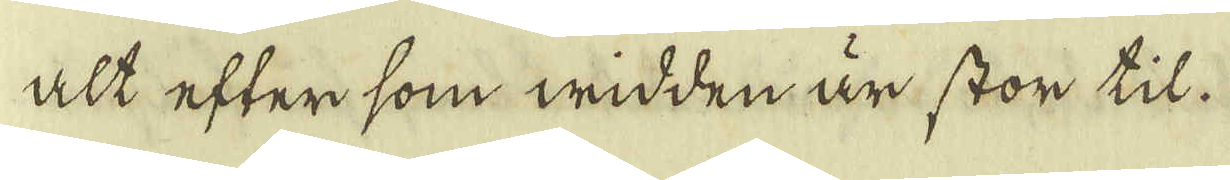att efter som widden är stor til.
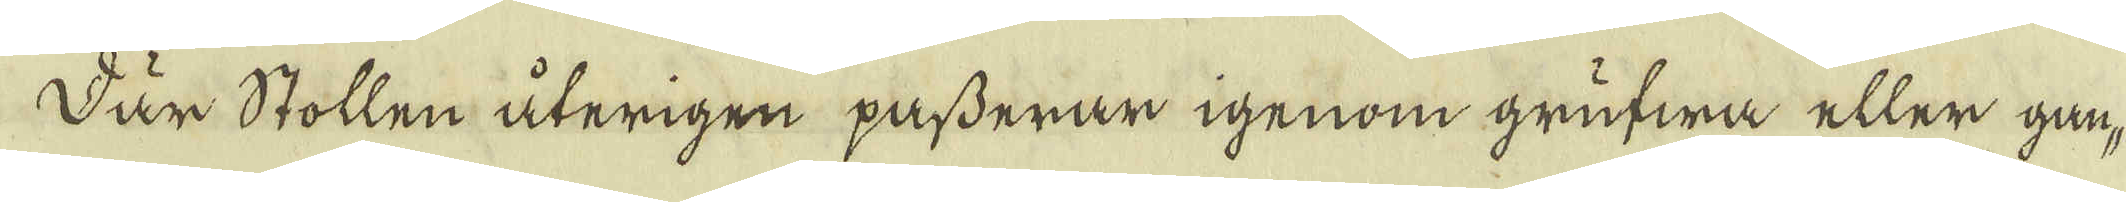Där Stollen återigen pafderar igenom grufwa eller gån-
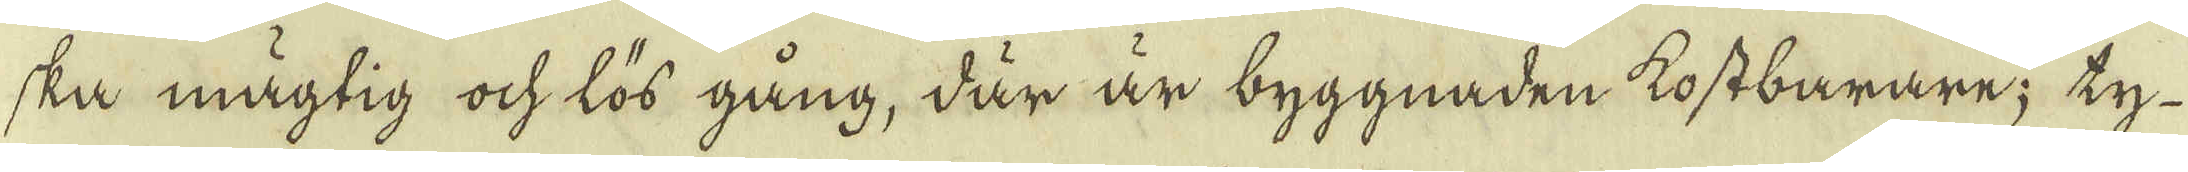ska mägtig ock lös gång, där är byggnaden kostbarare; ty
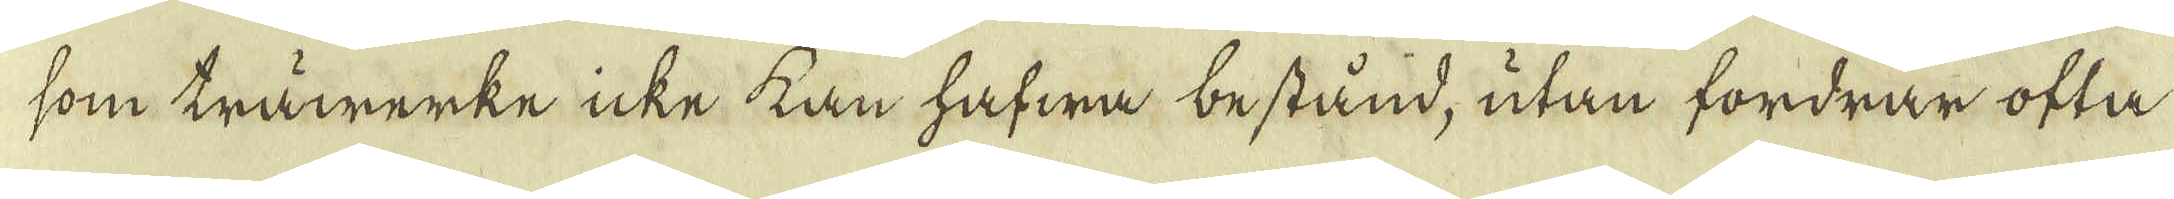som träwärke icke kan hafwa bestånd, utan fordrar ofta
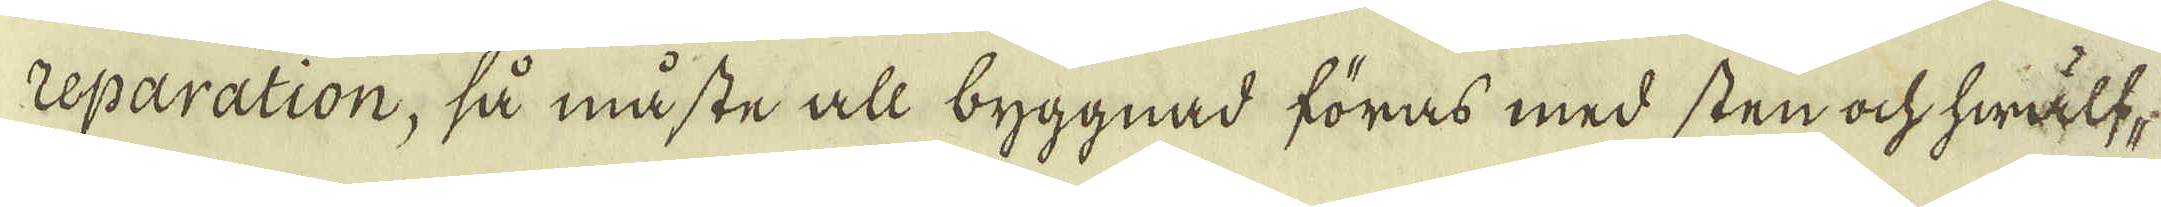eparation, så måste all byggnad föras med sten ock hwälf-
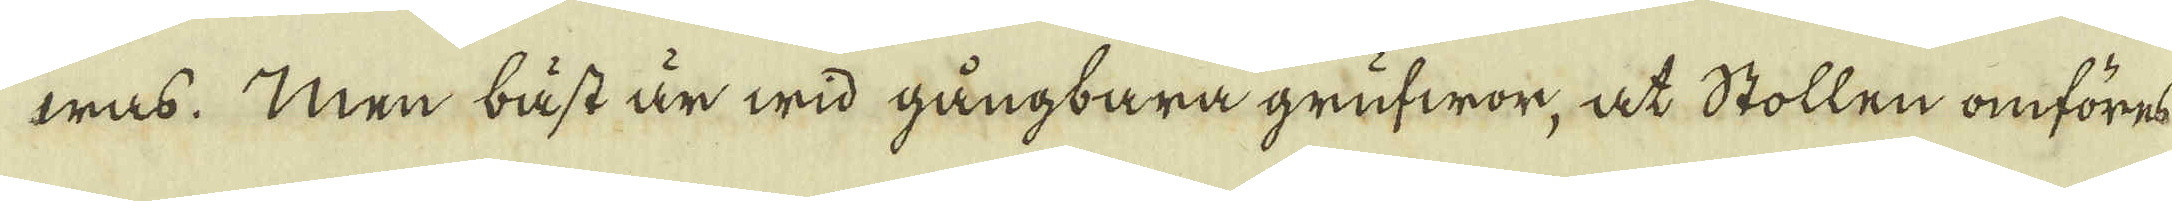was. Men bäst är wid gångbara grufwor, at Stollen omföres
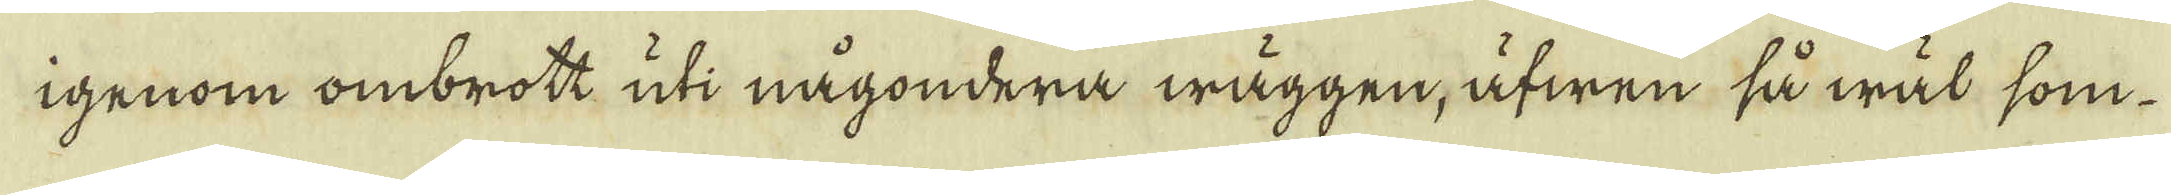igenom ombrott uti någondera wäggen, äfwen så wäl som
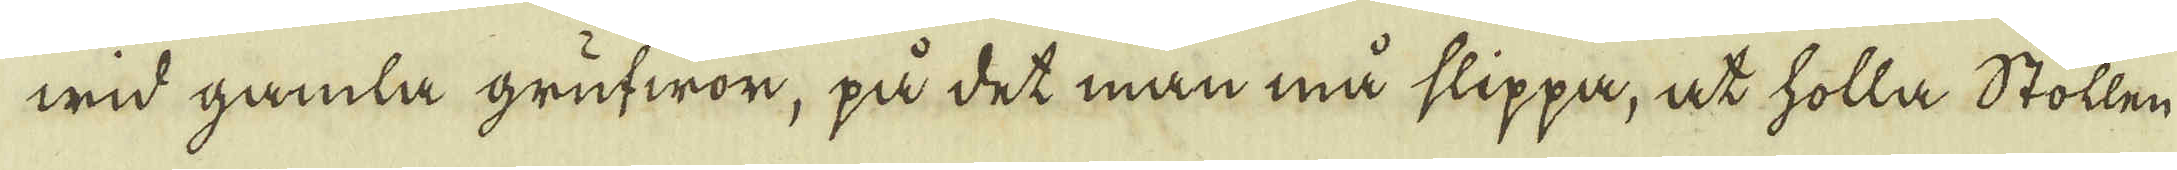wid gamla grufwor, på det man må slippa, at holla Stolln,
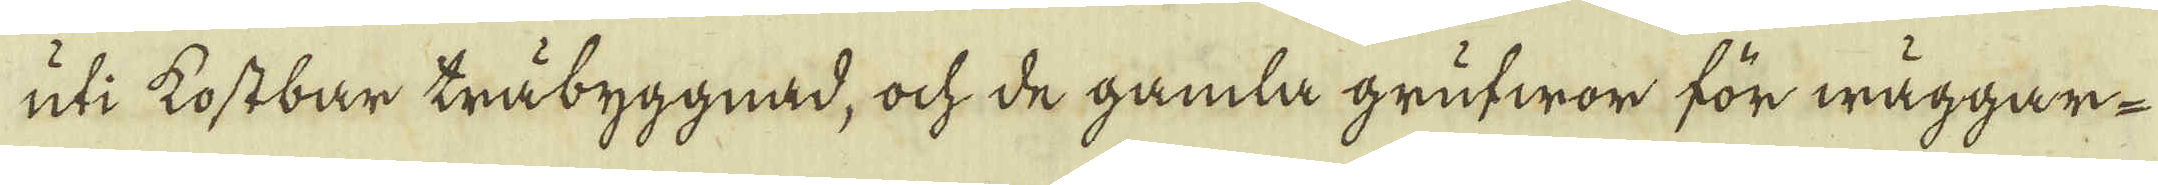uti kostbar träbyggnad, ock de gamla grufwor för wäggar-
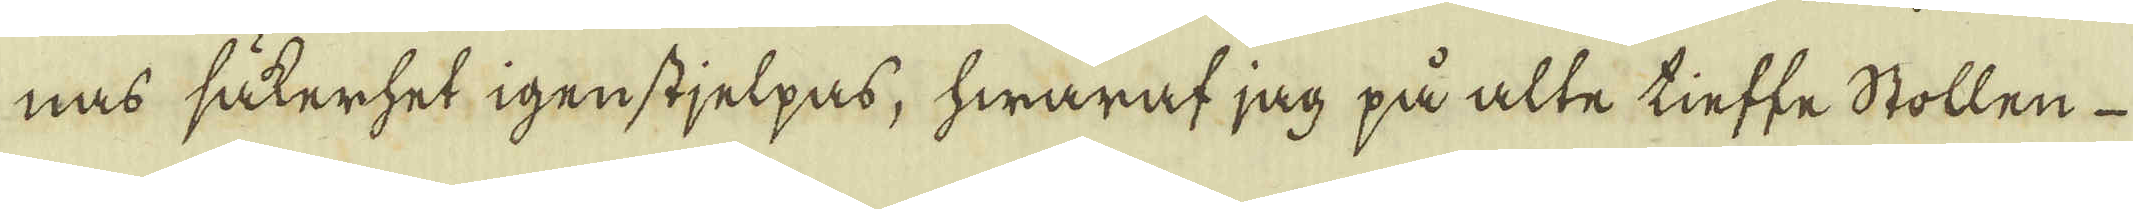nas såterhet igenstjelpas, hwaraf jag på alte tieffe Stollen
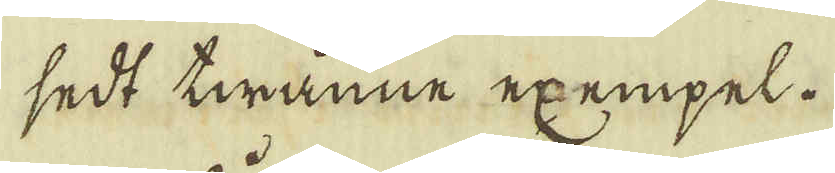sedt twänne exempel.
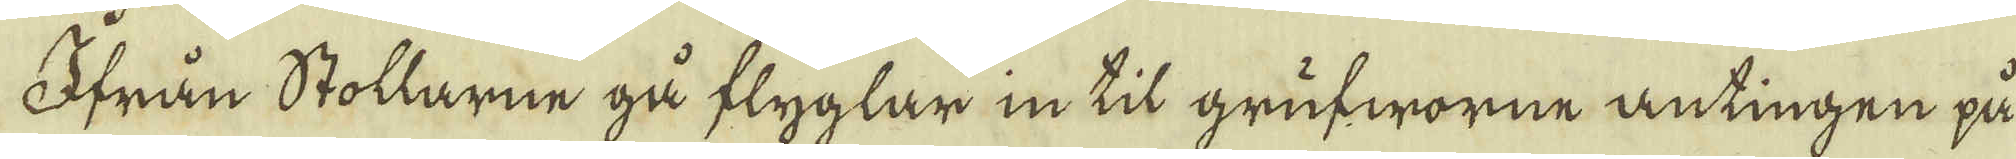Ofrån Stollarne gå flyglar in til grufworne antingen på
